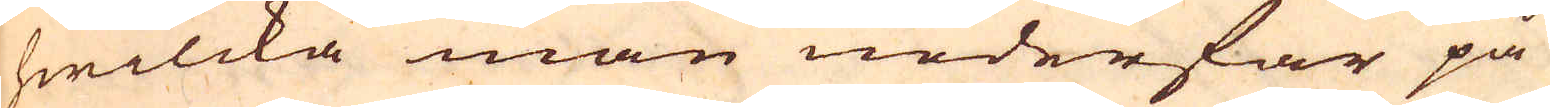hwilcka man nederfar på
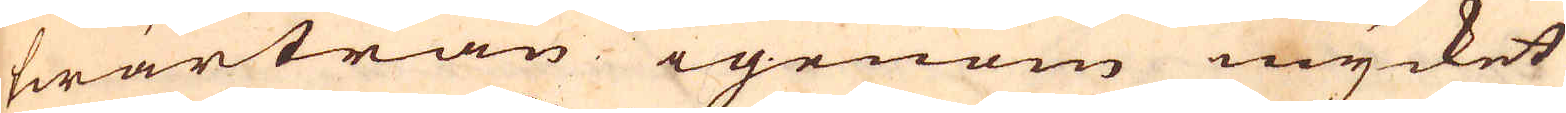twärträn igenom mycket
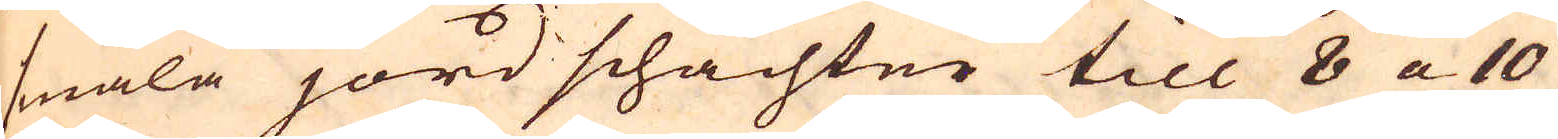smala jord schachter till 8 a 10
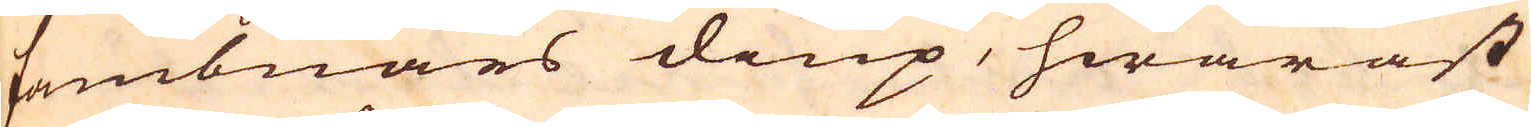fambnars diup, hwaräst
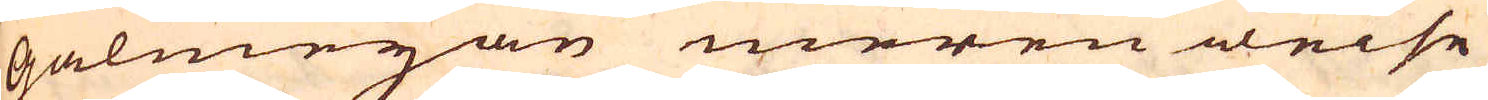galmejan meren weise
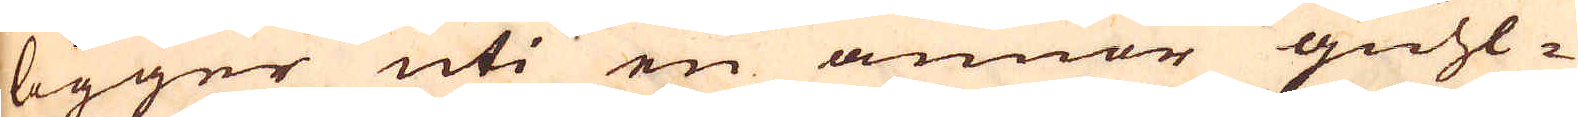ligger uti en annor guhl-
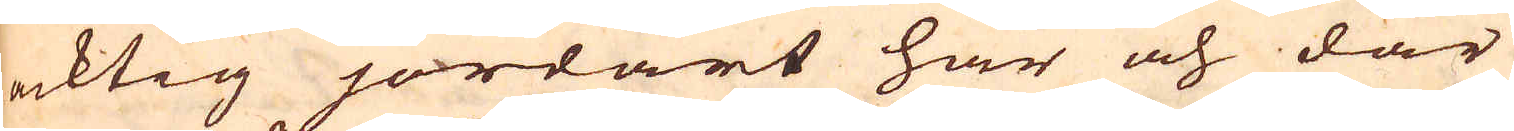acktig jordart här och där
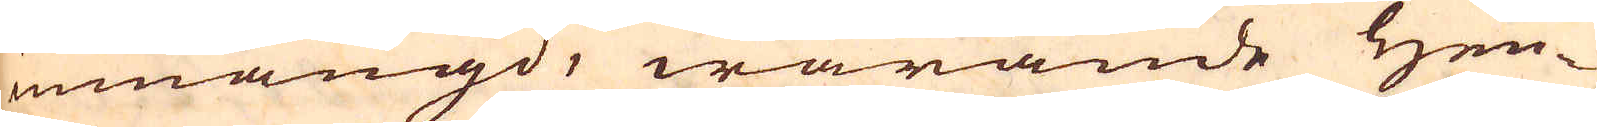inmängd, warande Hen-
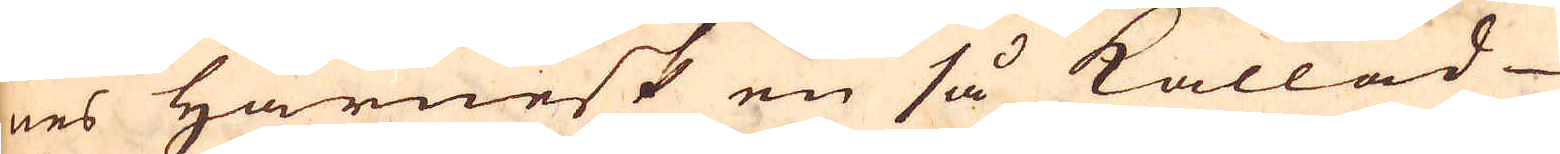nes Harnesk en så kallad
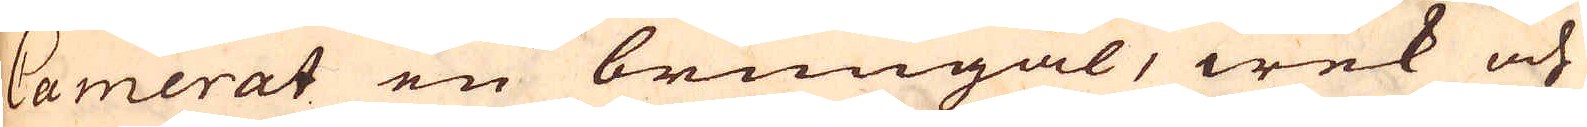Camerat en brungål, wek och
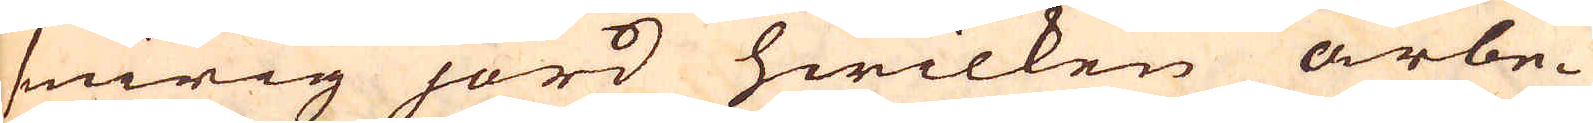smirig jord hwilken arbe-
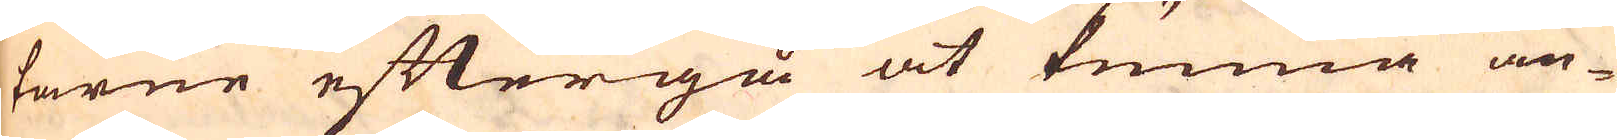tarne eftergå at kunna an-
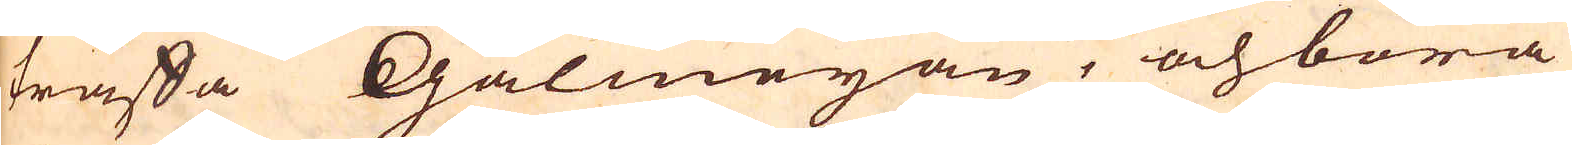träffa Galmejan, och böra
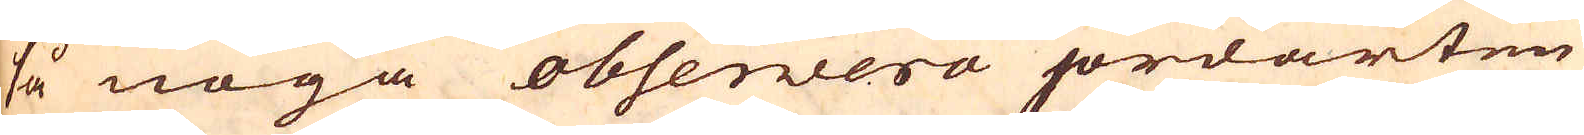så noga ohservera jordarten
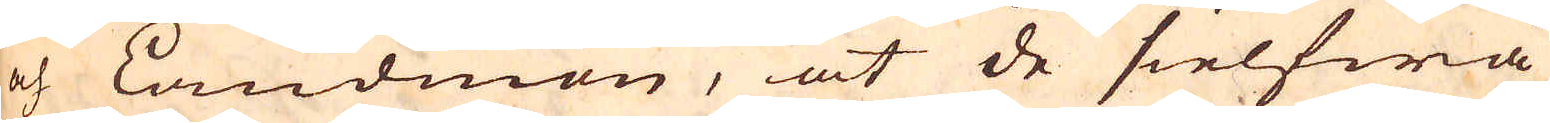och Landmon, at de sielfwa
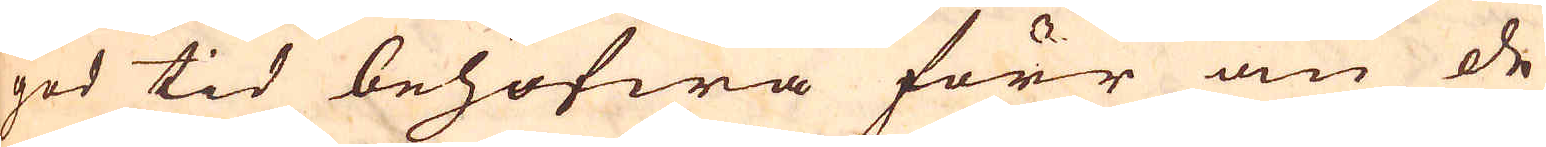ges tid behöfwa förr an de
